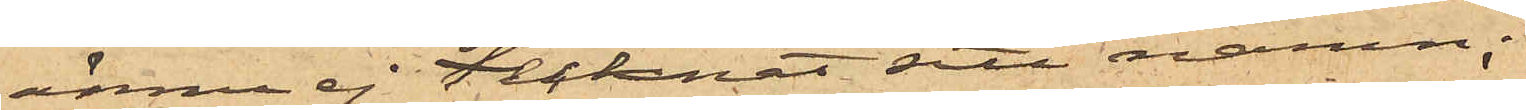ännu ej tecknat stt namn;
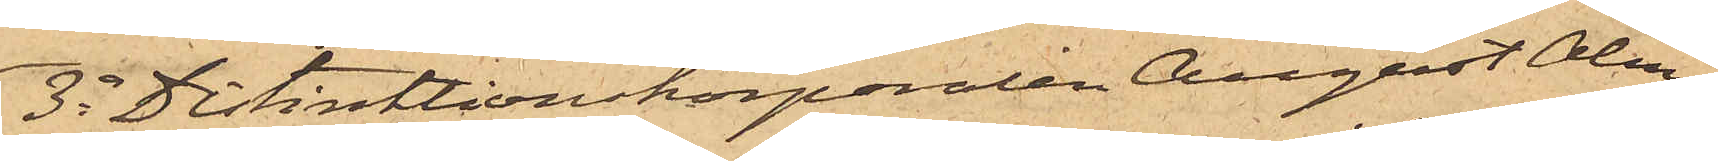3o Distinktionskorporalen August Alm¬
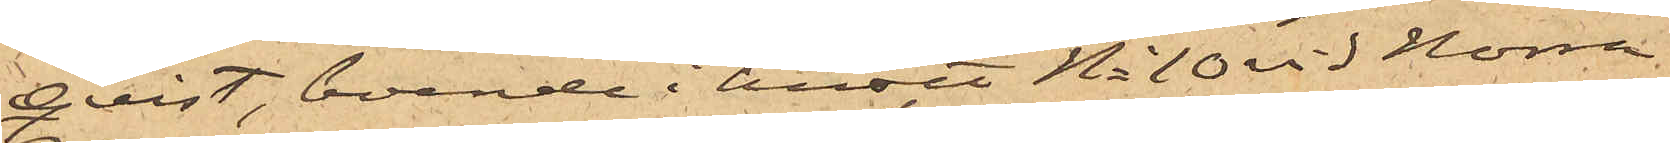qvist, boende i huset No 10 vid Norra
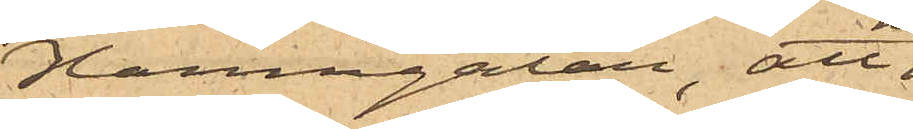Hamngatan, att
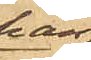han
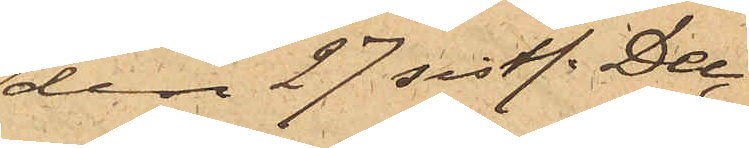den 27 sistl. Dec.
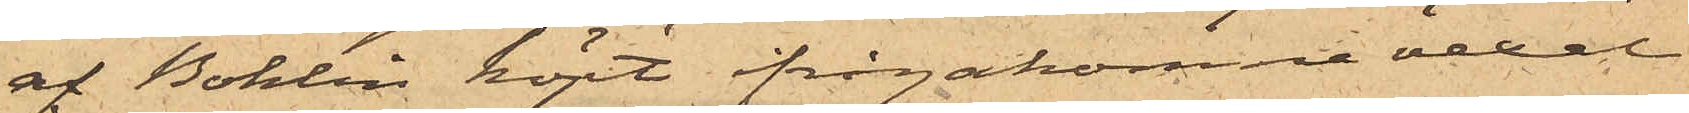af Bohlin köpt ifrågakomna vexel
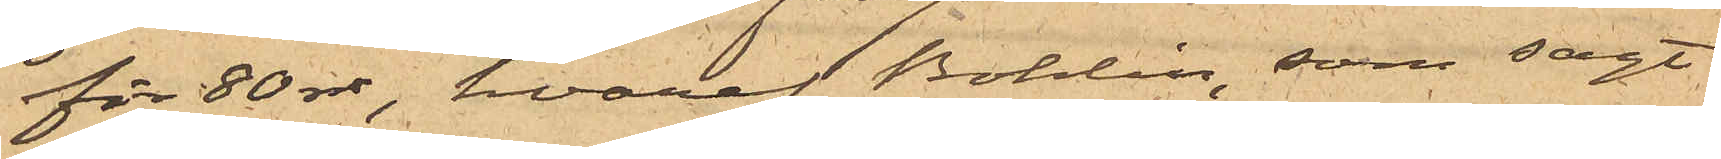för 80 rdr, hvaraf Bohlin, som sagt
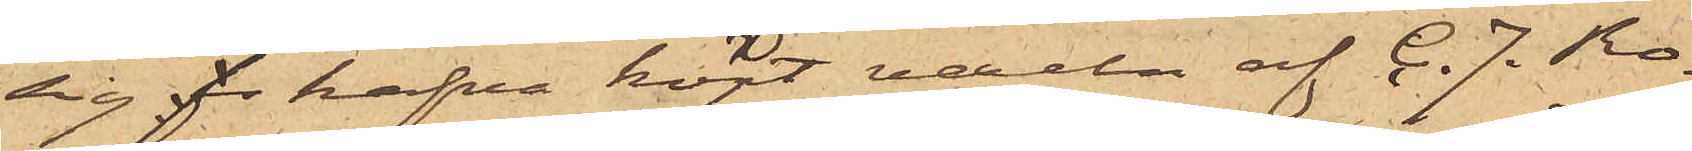sig hafva köpt vexeln af C. J. Ro¬
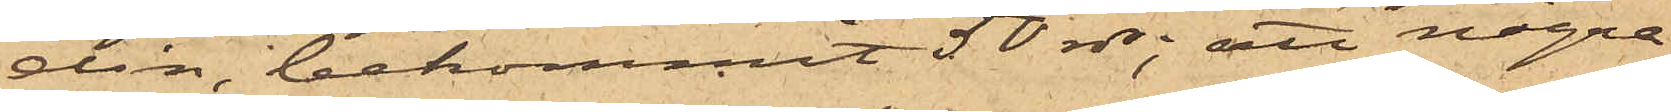din, bekommit 50 rdr; att några
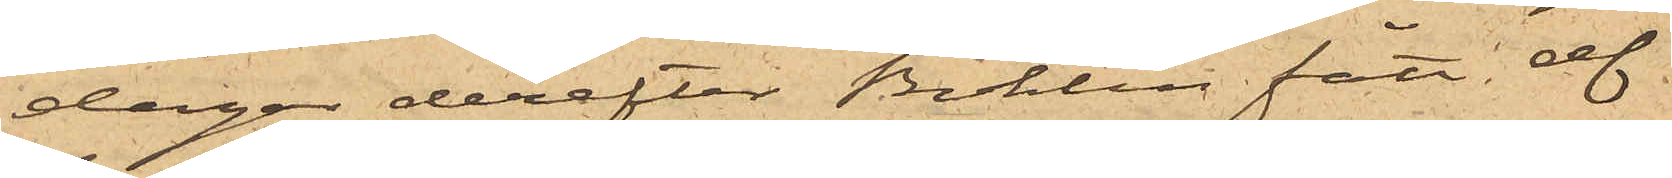dagar derefter Bohlin fått af
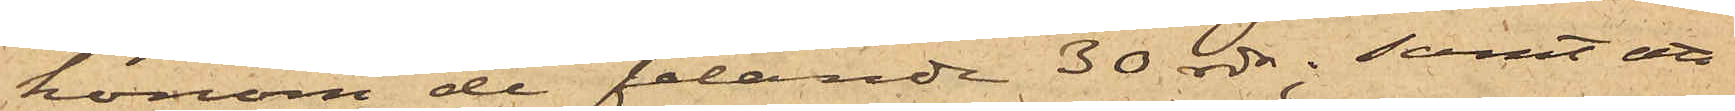honom de felande 30 rdr; samt att,
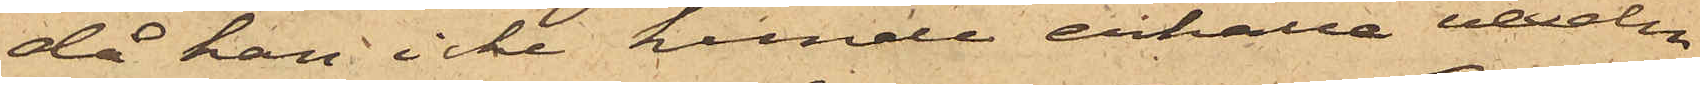då han icke kunde erhålla vexeln
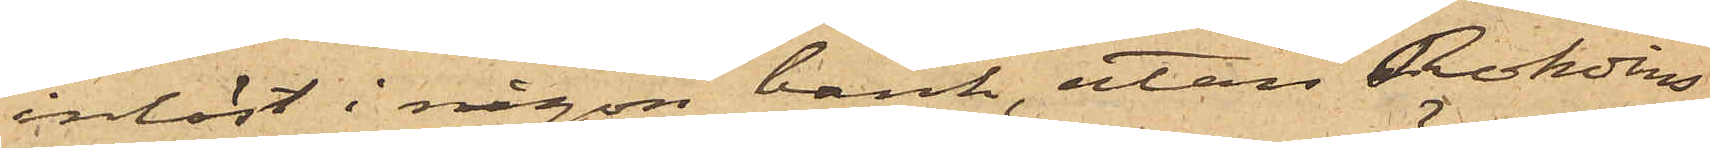inlöst i någon bank, utan Rohdins
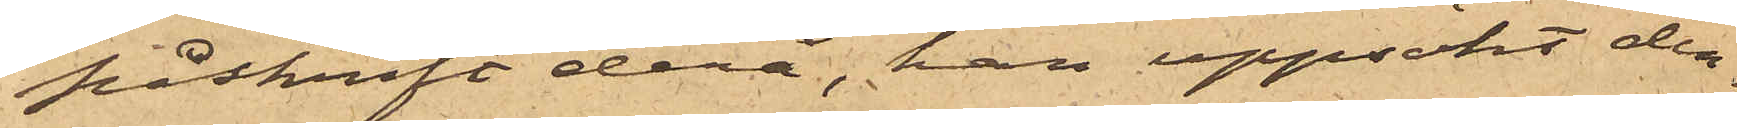påskrift derå, han uppsökt den¬
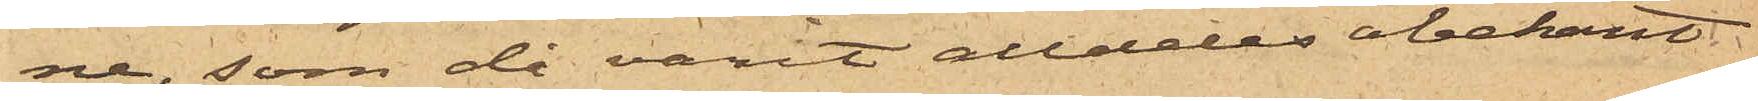ne, som då varit alldeles obekant
